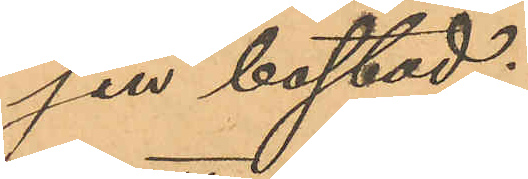sin bostad;
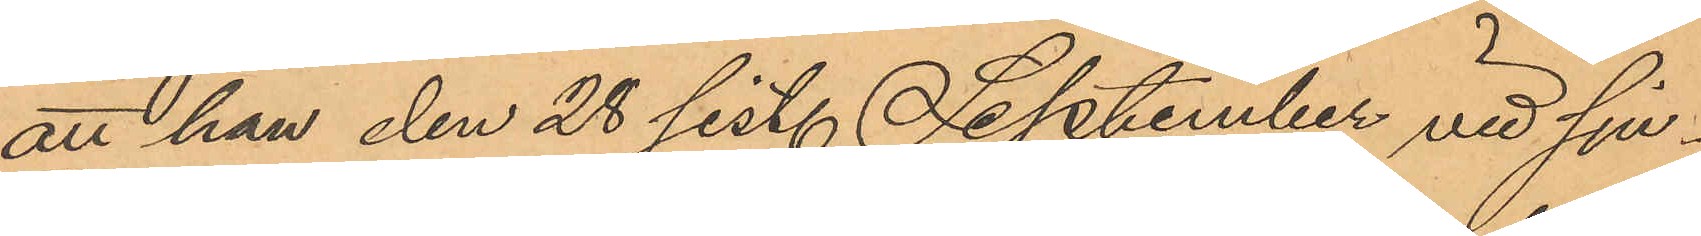att han den 28 sist. September vid sju¬
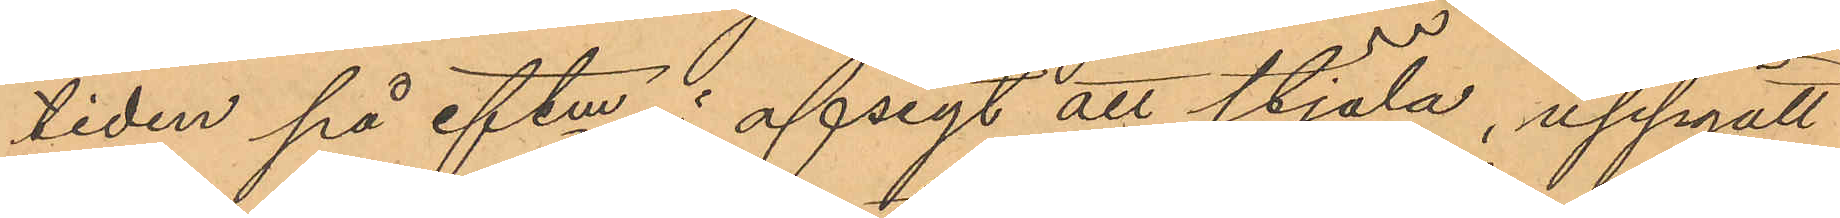tiden på eftm i afsigt att stjäla, uppgått
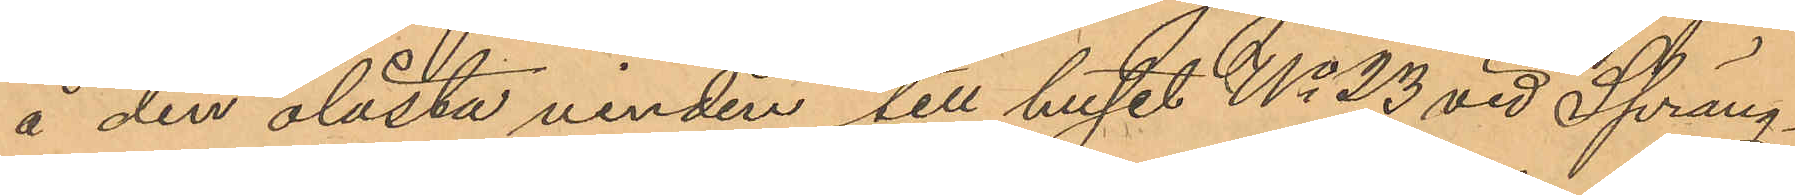å den olåsta vinden till huset No 23 vid Spräng¬
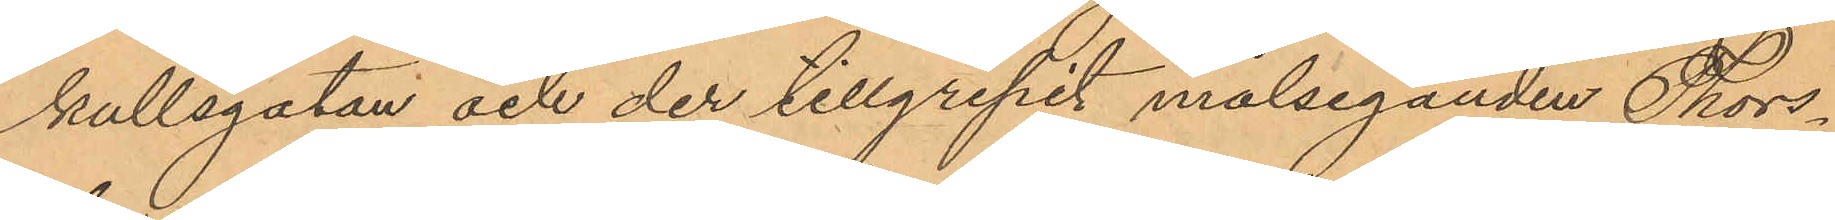kullsgatan och der tillgripit målseganden Thors¬
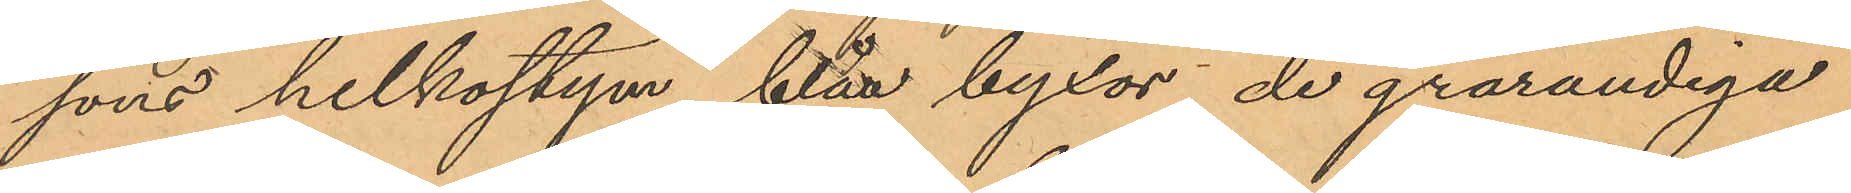sons helkostym, blåa byxor, de grårandiga
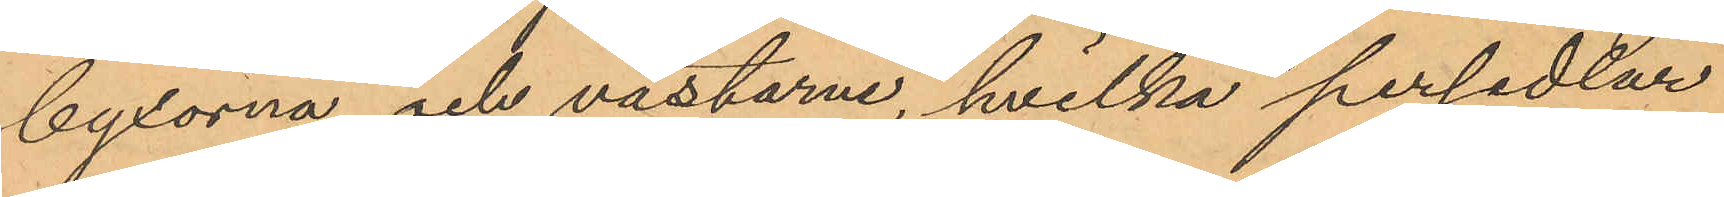byxorna och västarne, hvilka persedlar
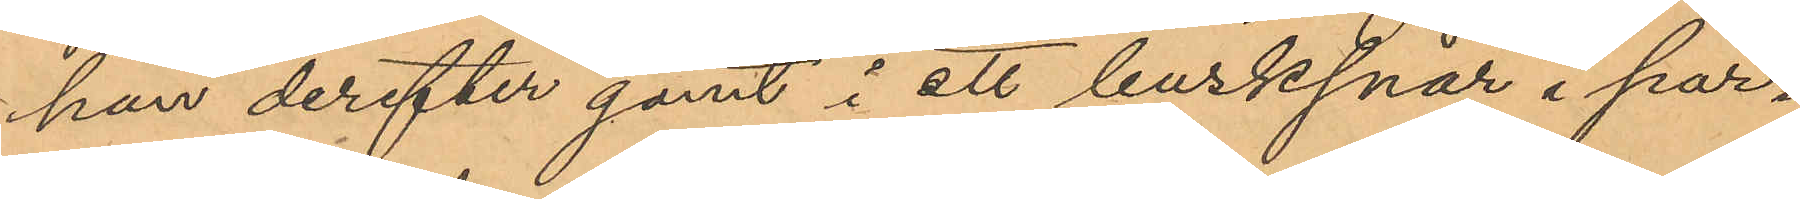han derefter gömt i ett busksnår i par¬
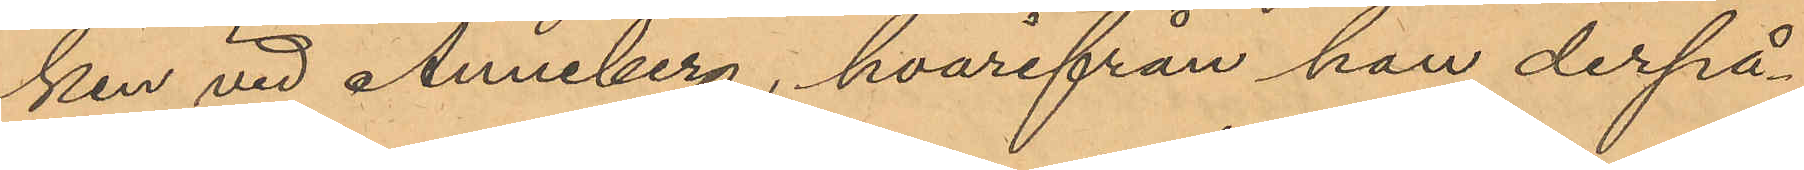ken vid Anneberg, hvarifrån han derpå¬
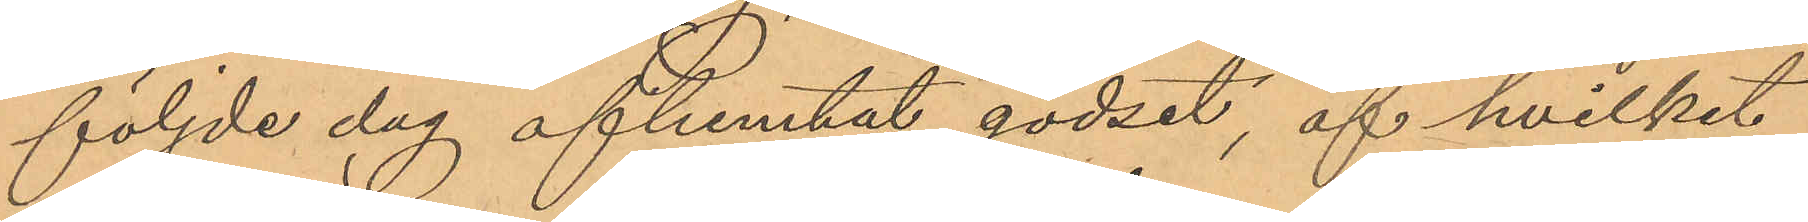följde dag afhemtat godset, af hvilket
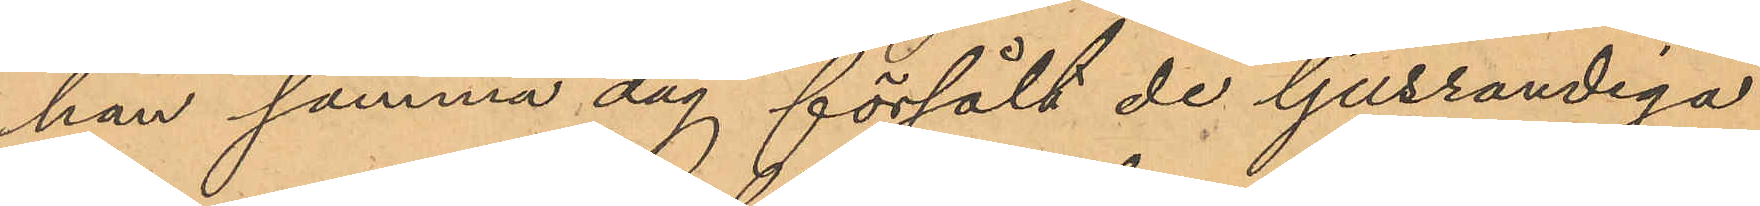han samma dag försålt de ljusrandiga
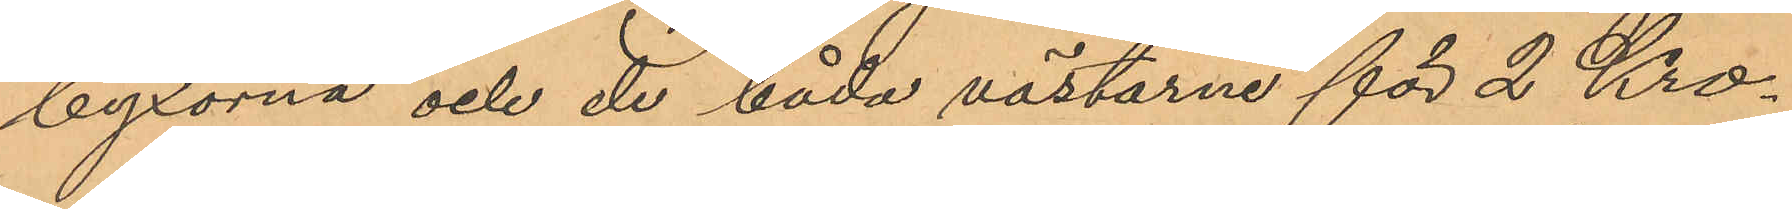byxorna och de båda västarne för 2 Kro¬
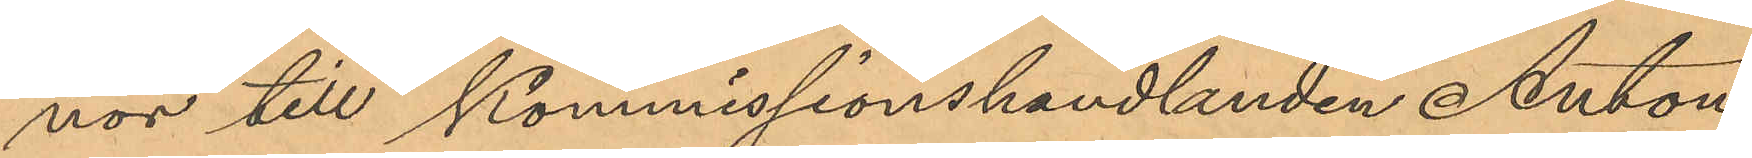nor till Kommissionshandlanden Anton
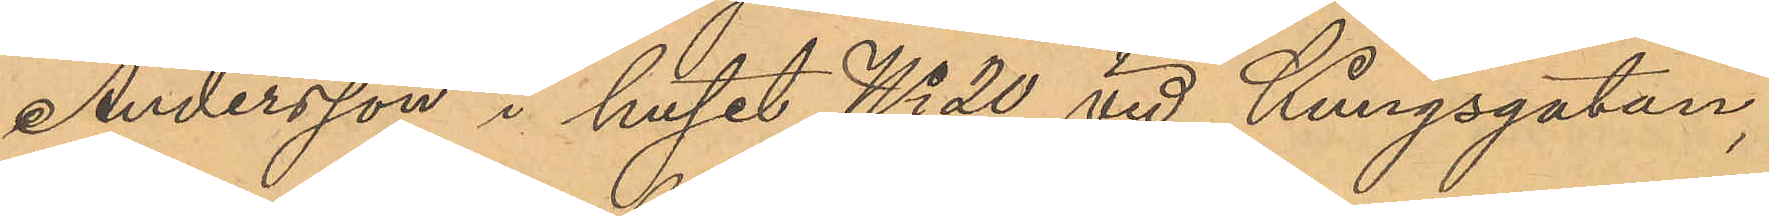Andersson i huset No 20 vid Kungsgatan,
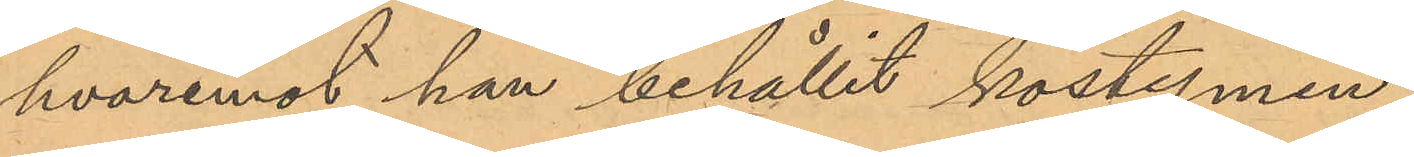hvaremot han behållit kostymen;
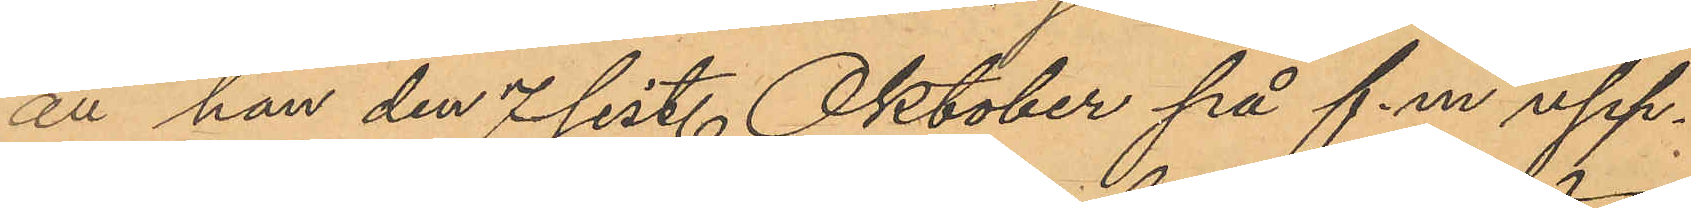att han den 7 sist. Oktober på f.m upp¬
